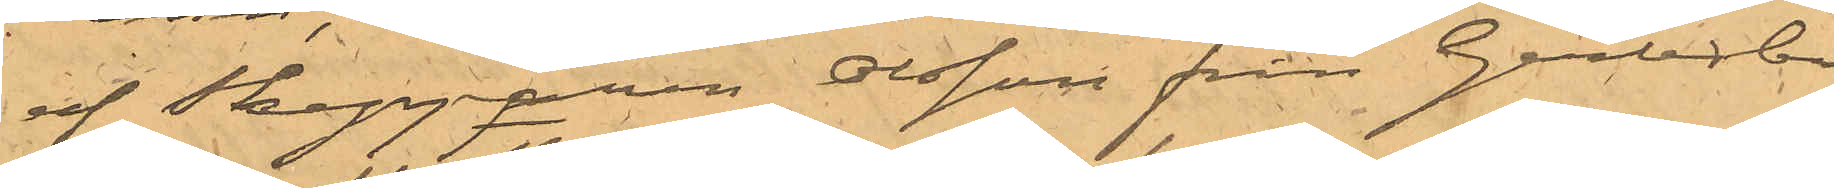af Skepparen Olsson från Gerlesborg
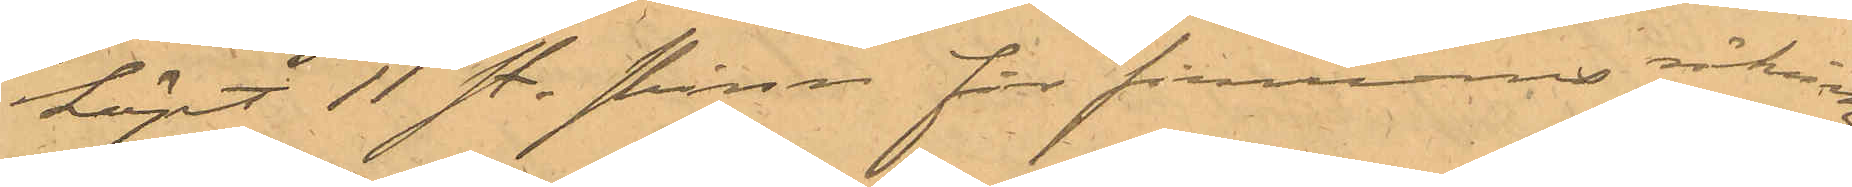köpt 11 st. skinn för firmans räkning.
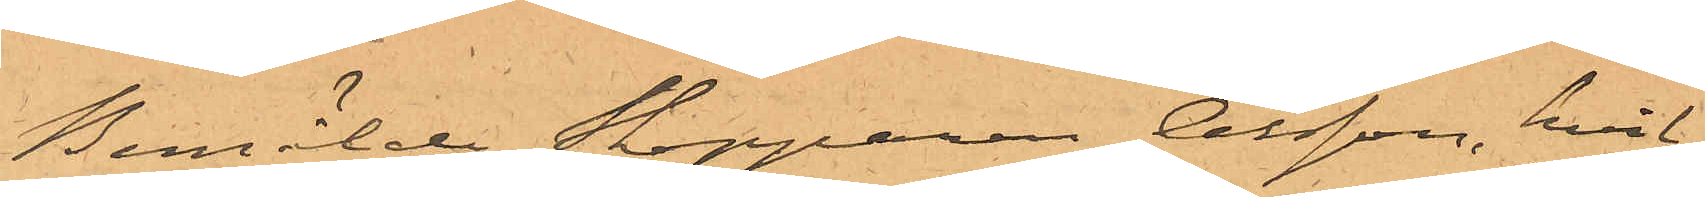Bemälde Skepparen Olsson, hvil¬
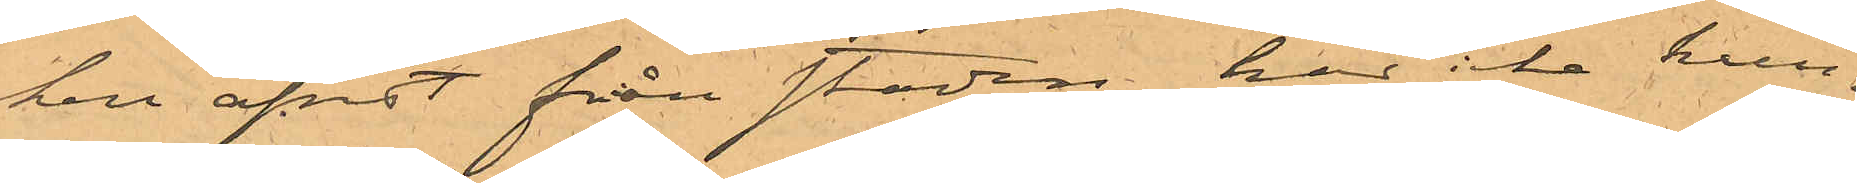ken afrest från staden har icke kun¬
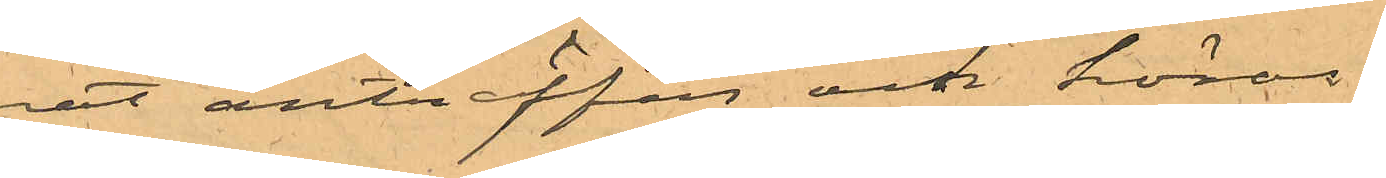nat anträffas och höras.
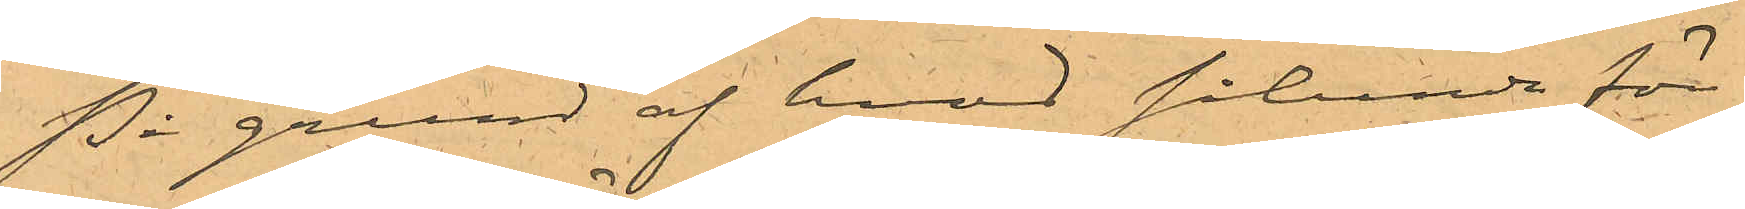På grund af hvad sålunda före¬
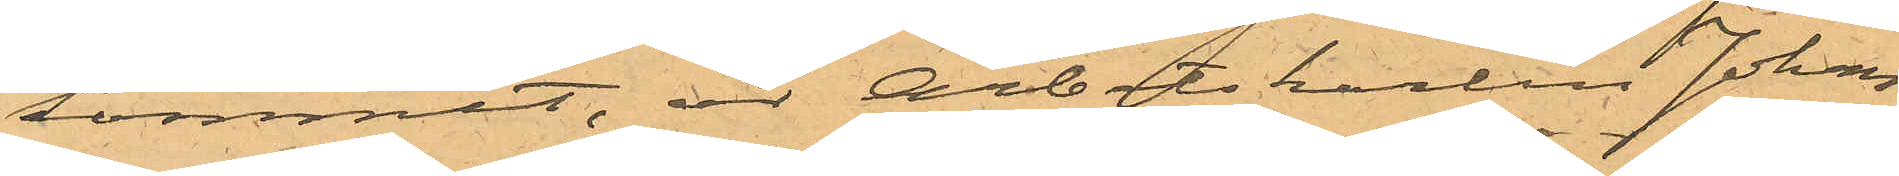kommit, är Arbetskarlen Johan
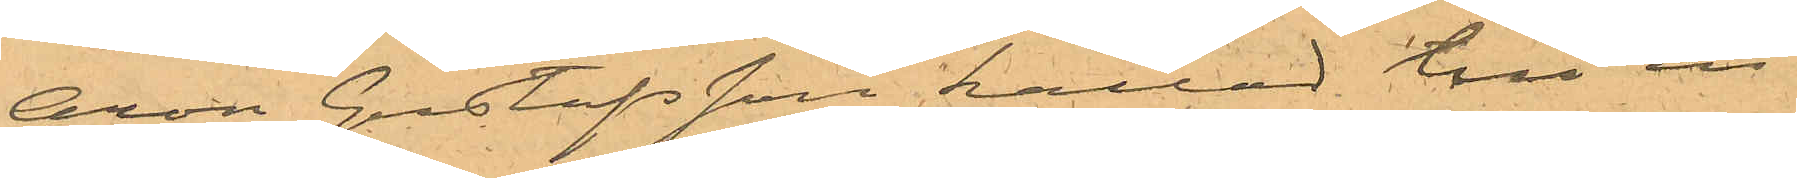Aron Gustafsson kallad till in¬
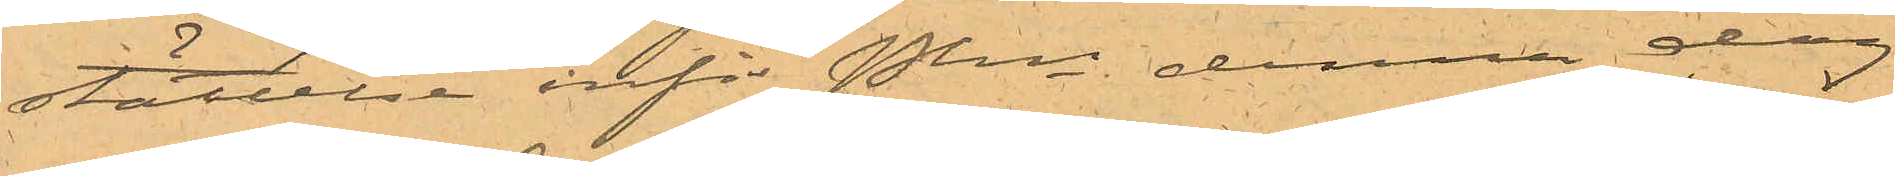ställelse inför Pkn denna dag
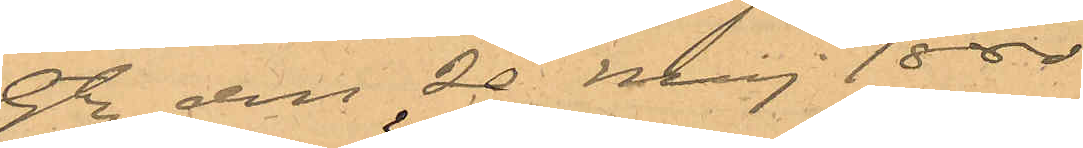Gbg den 20 Maj 1880.
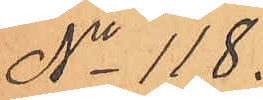No 118.
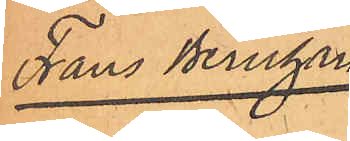Frans Bernhard
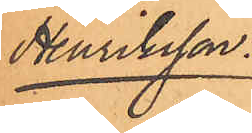Henriksson.
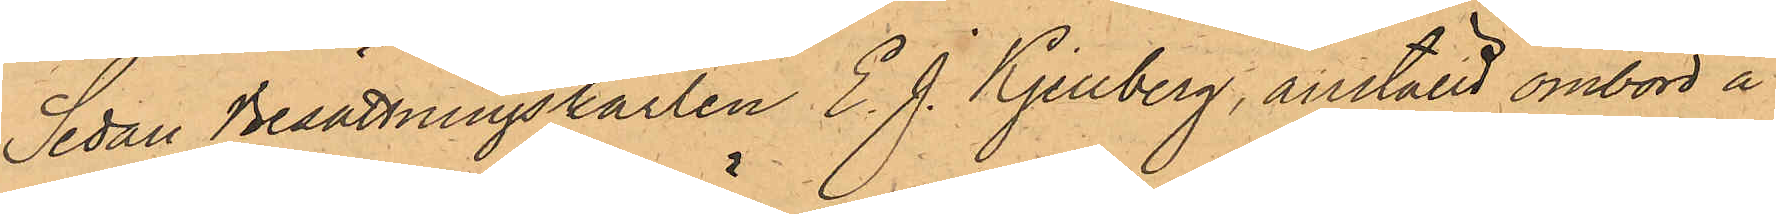Sedan Besättningskarlen E. J. Kjellberg, anställd ombord å
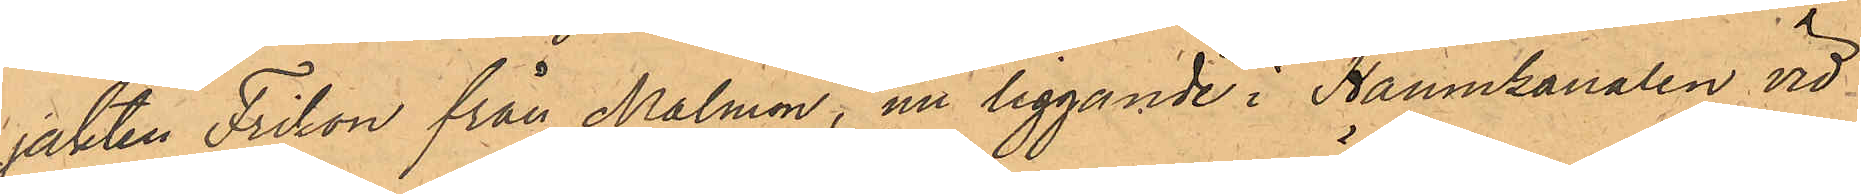jakten Triton från Malmön, nu liggande i Hamnkanalen vid
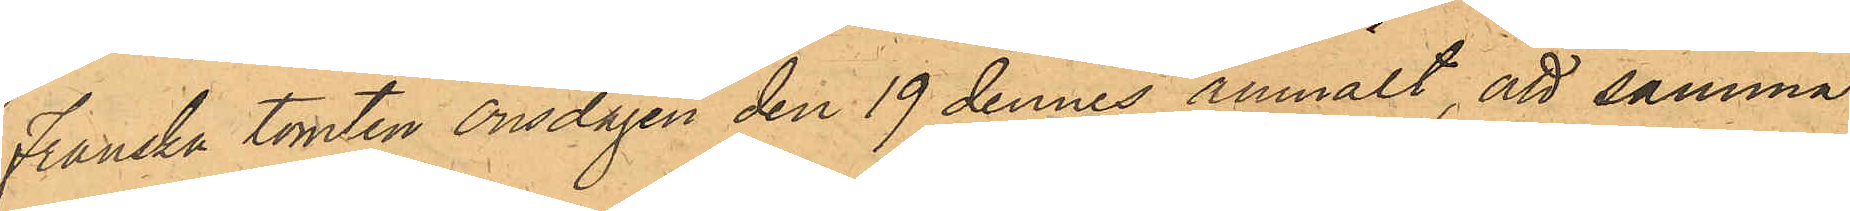Franska tomten onsdagen den 19 dennes anmält, att samma
